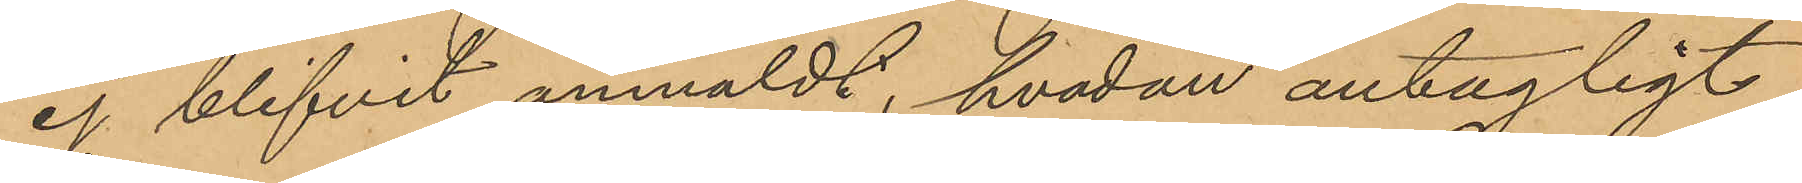ej blifvit anmäldt, hvadan antagligt
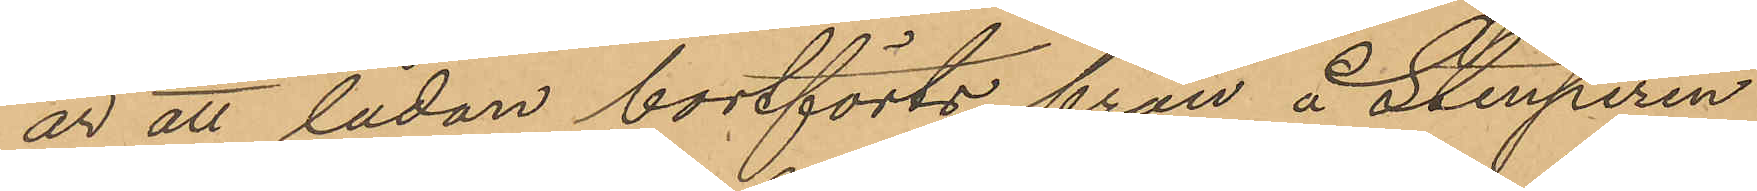är att lådan bortförts från å Stenpiren
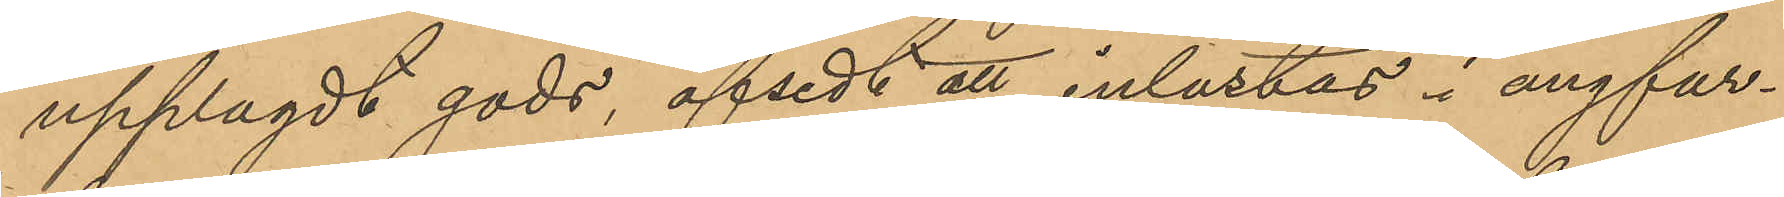upplagdt gods, afsedt att inlastas i ångfar¬
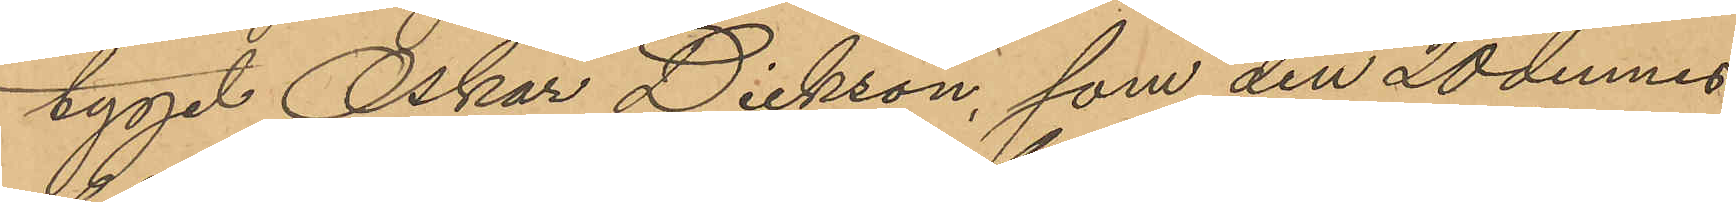tyget Oskar Dickson, som den 20 dennes
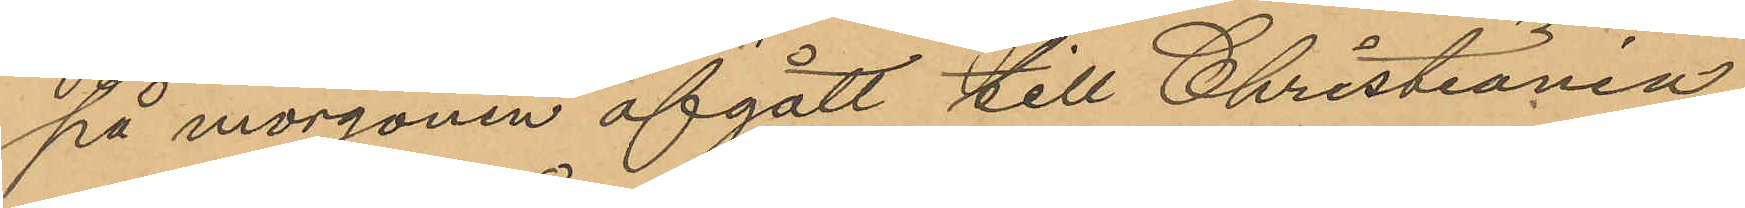på morgonen afgått till Christiania,
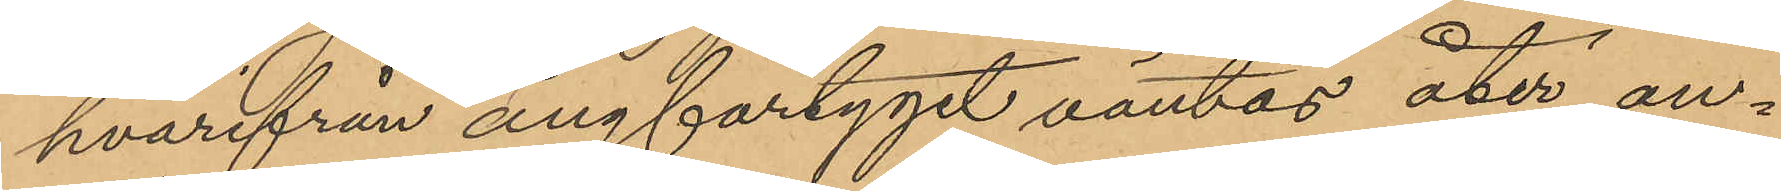hvarifrån ångfartyget väntas åter an¬
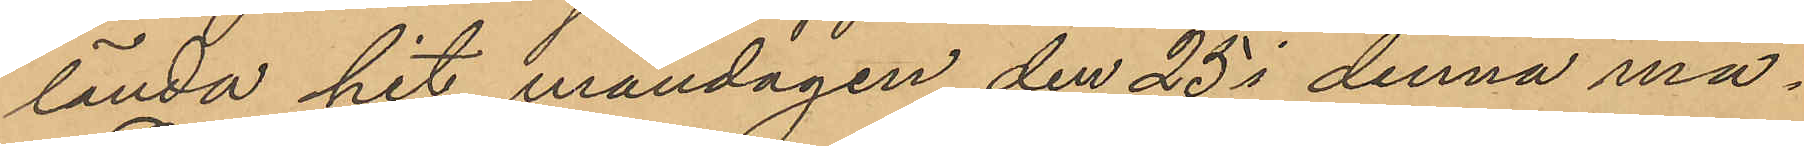lända hit måndagen den 25 i denna må¬
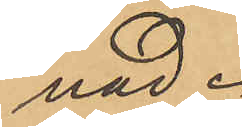nad.
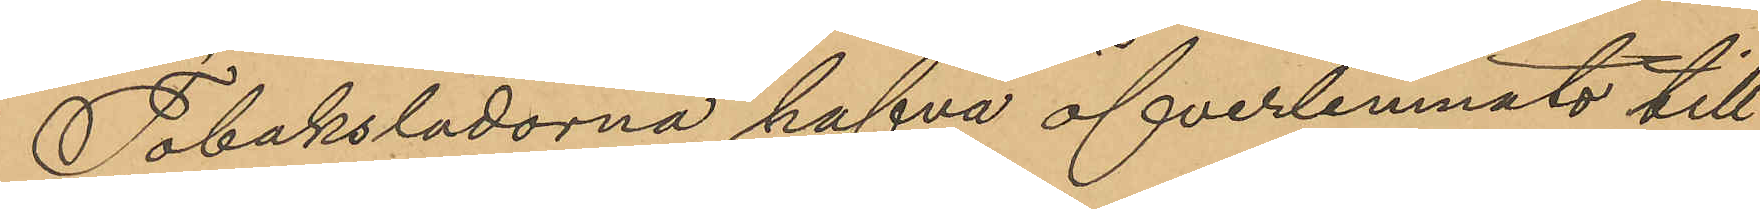Tobakslådorna hafva öfverlemnats till
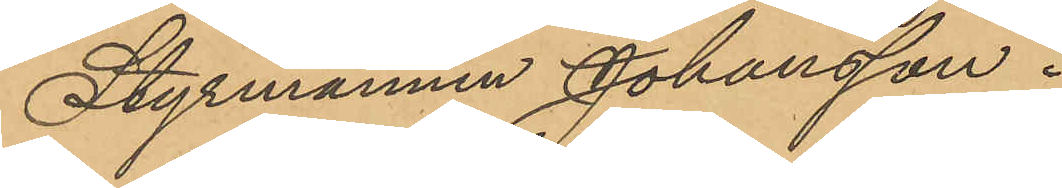Styrmannen Johansson.
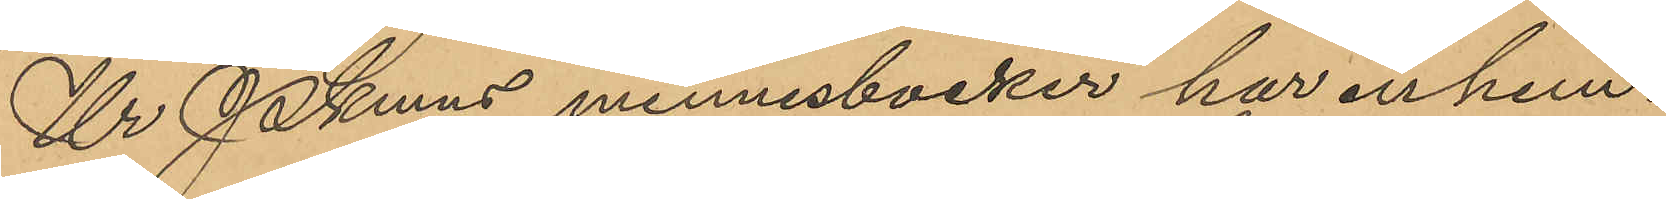Ur Pkmns minnesböcker har inhem¬
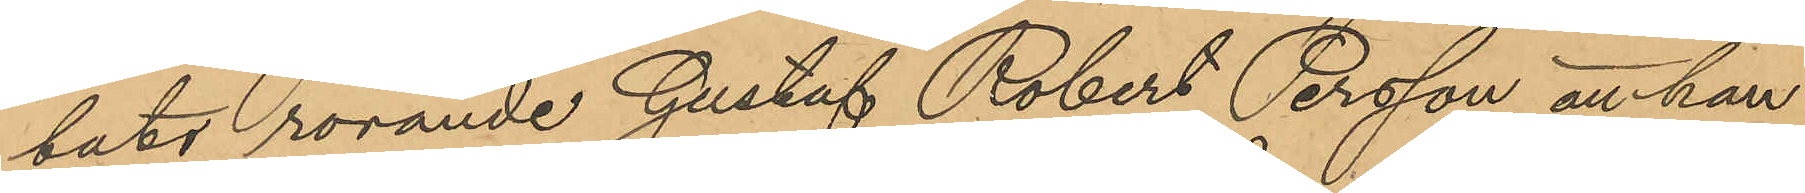tats rörande Gustaf Robert Persson, att han
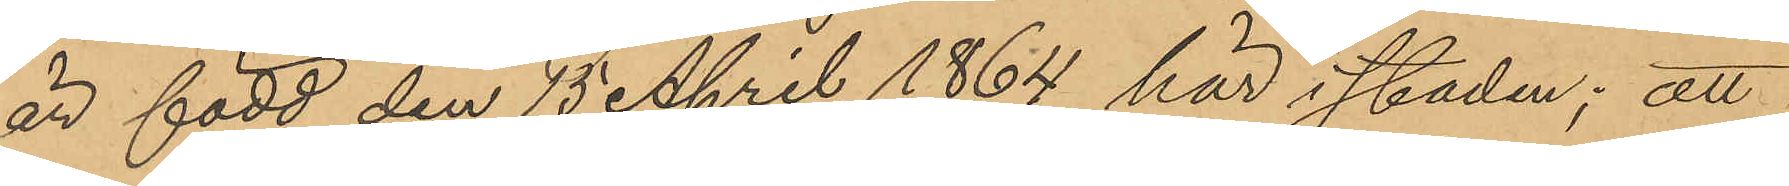är född den 15 April 1864 här i staden; att
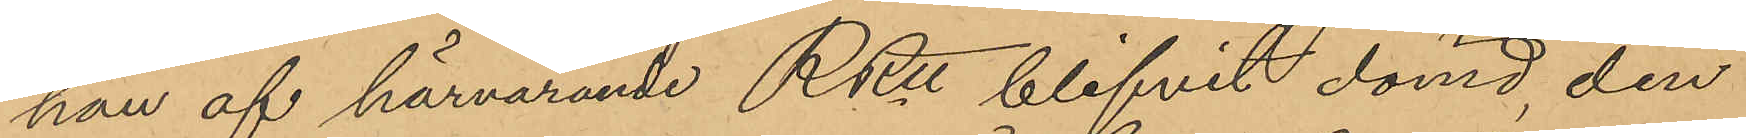han af härvarande RRtt blifvit dömd, den
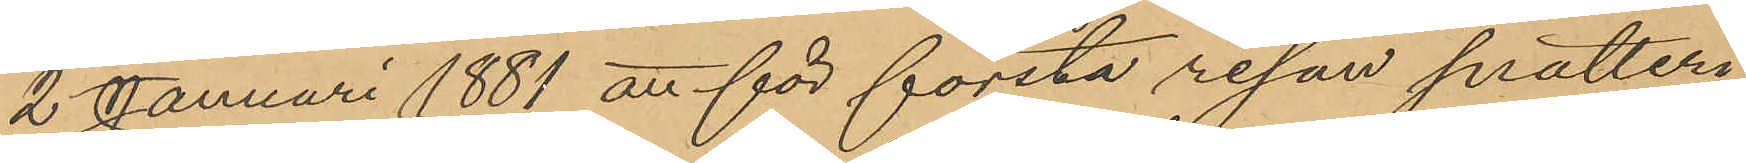2 Januari 1881 att för första resan snatteri
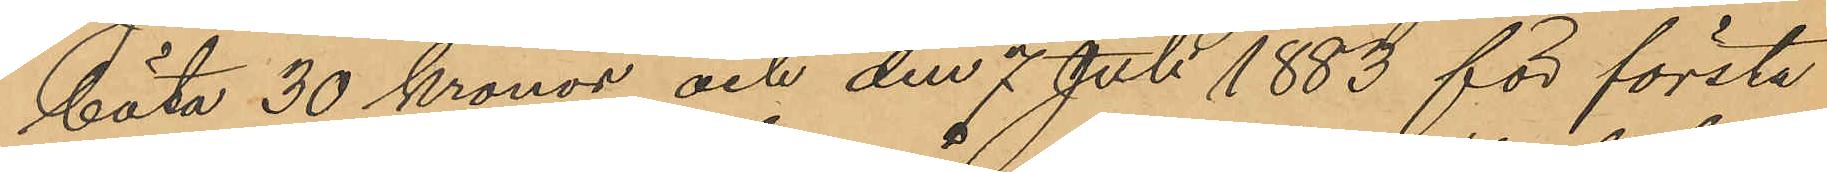böta 30 Kronor och den 7 Juli 1883 för första
